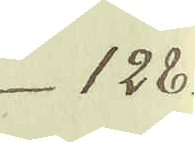128.
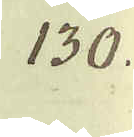130.
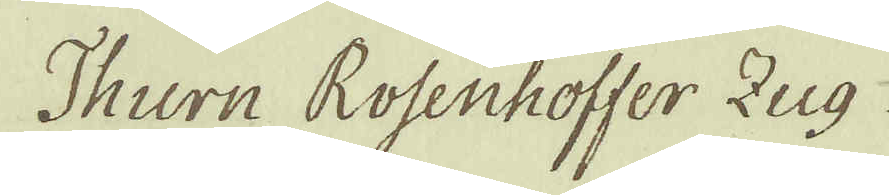Thurn Rosenhoffer Zug
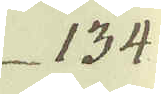134
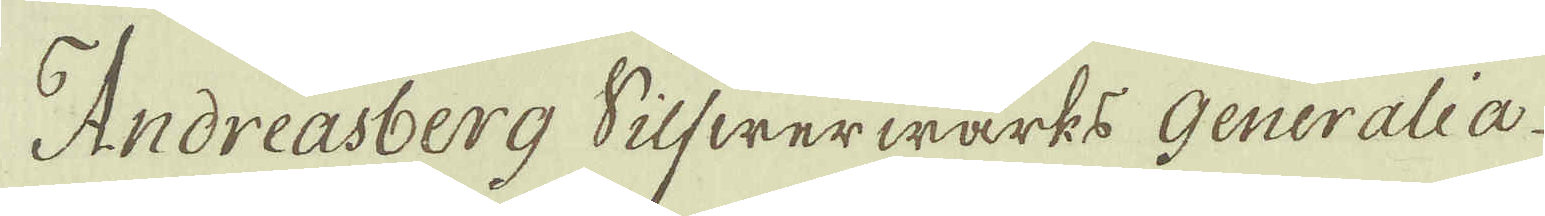Andreasberg Silfwerwärks Generalia
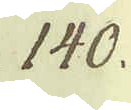140.
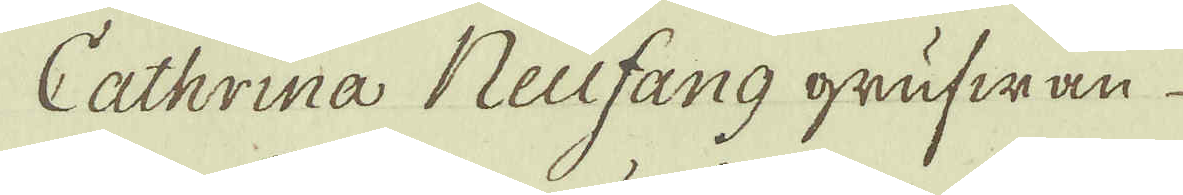Cathrina Neufang grufwan
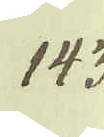143
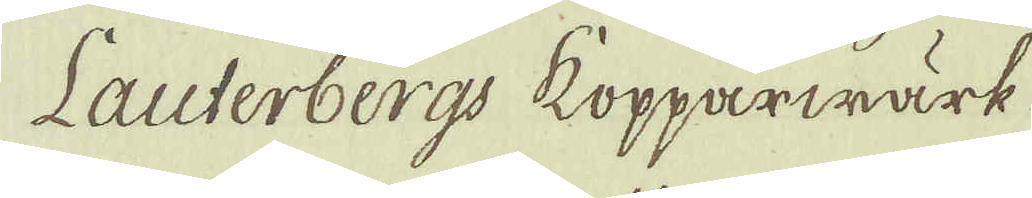Lauterbergs kopparwärk
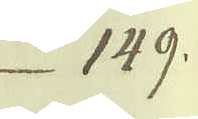149.
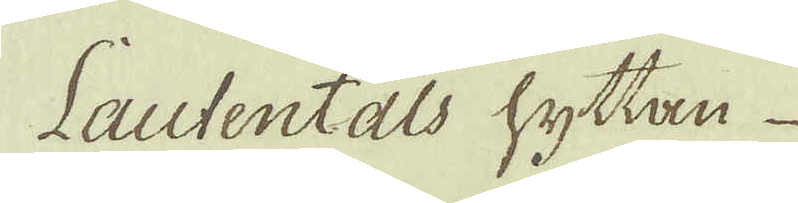Lautentals hyttan
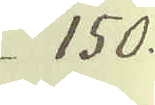150.
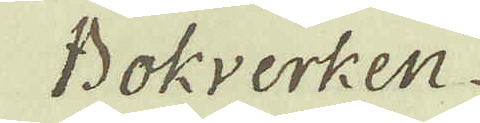Bokverken
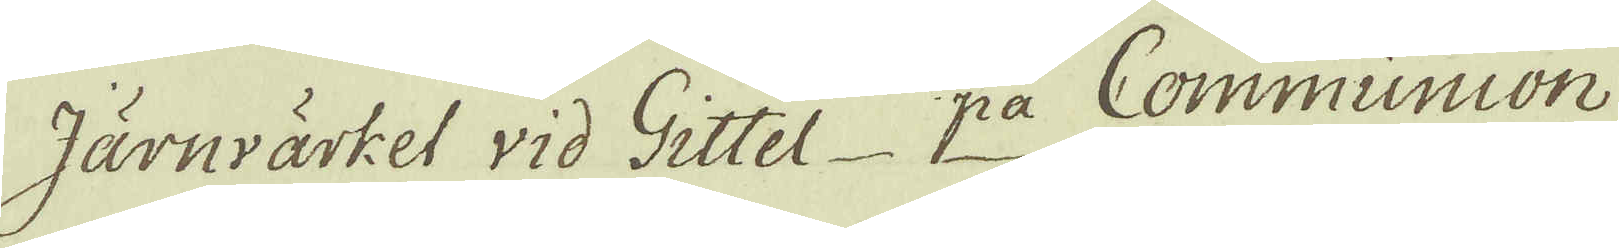Järnvärket vid Gittel pa Communion
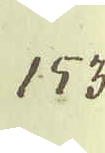153
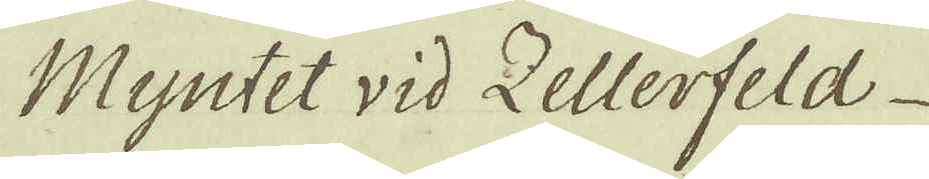Myntet wid Zellerfeld
